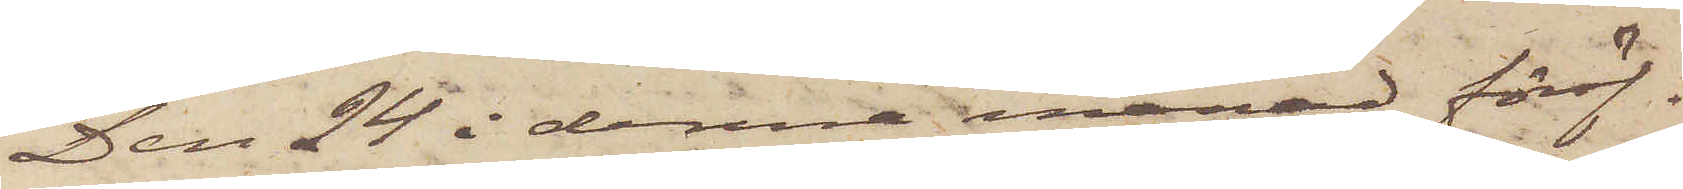Den 24 i denna månad föröf¬
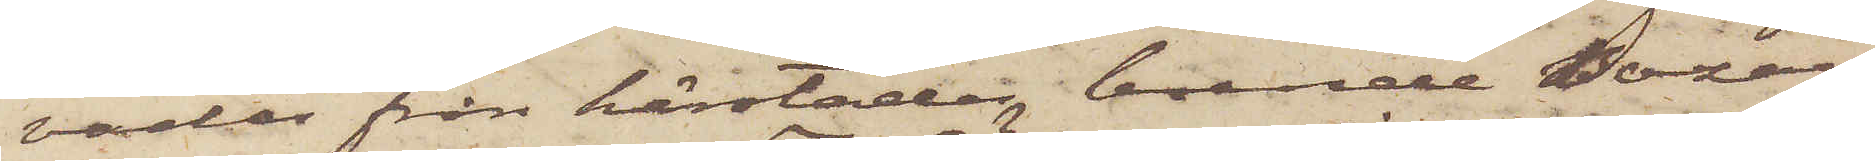vades från härstädes boende Bazar¬
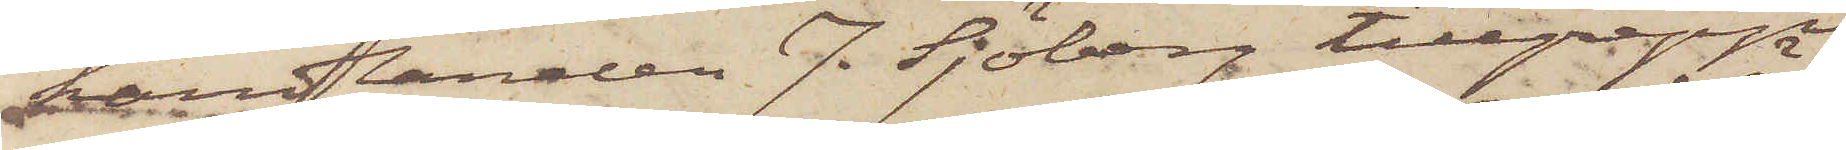handlanden J. Sjöberg tillgrepp
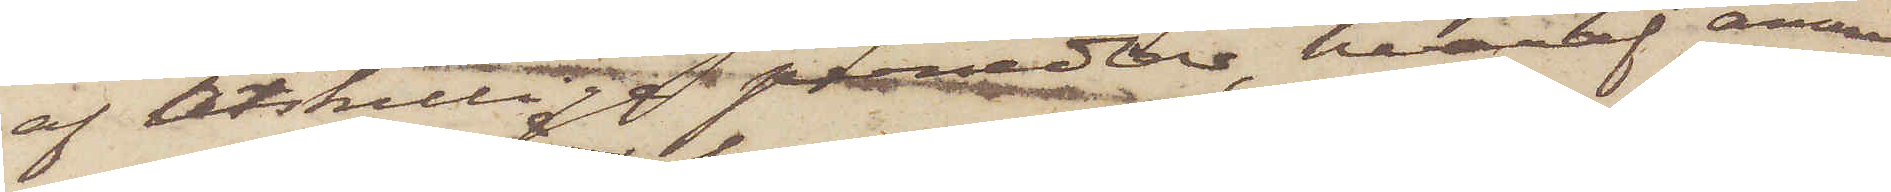af åtskilliga persedlar, hvaraf ännu
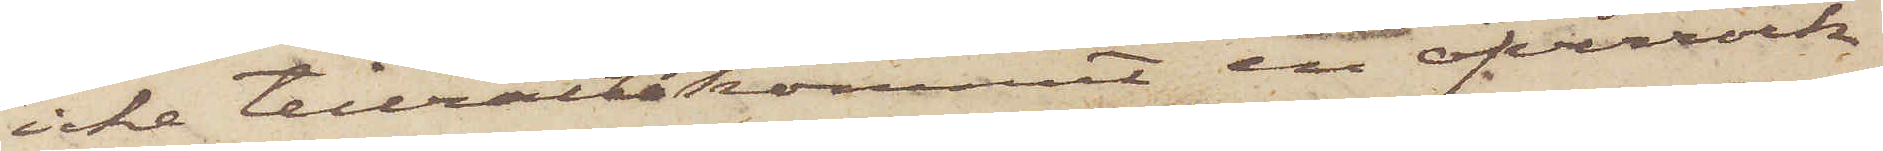icke tillrättakommit en öfverrock
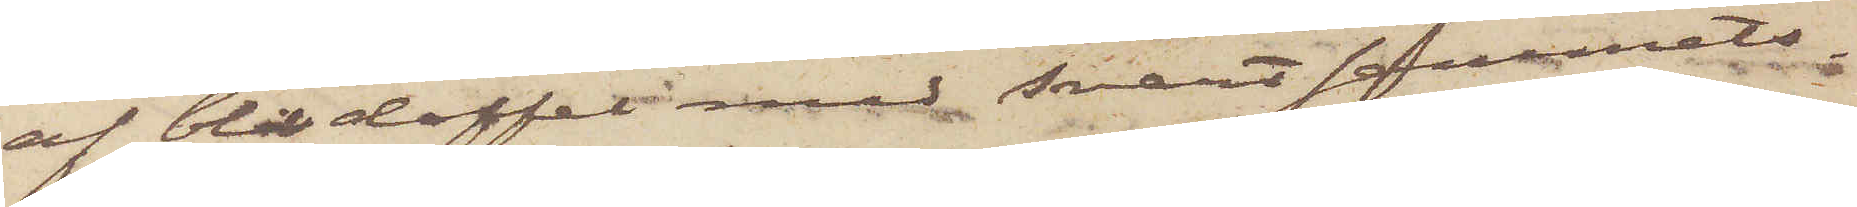af blå doffel med svart sammets¬
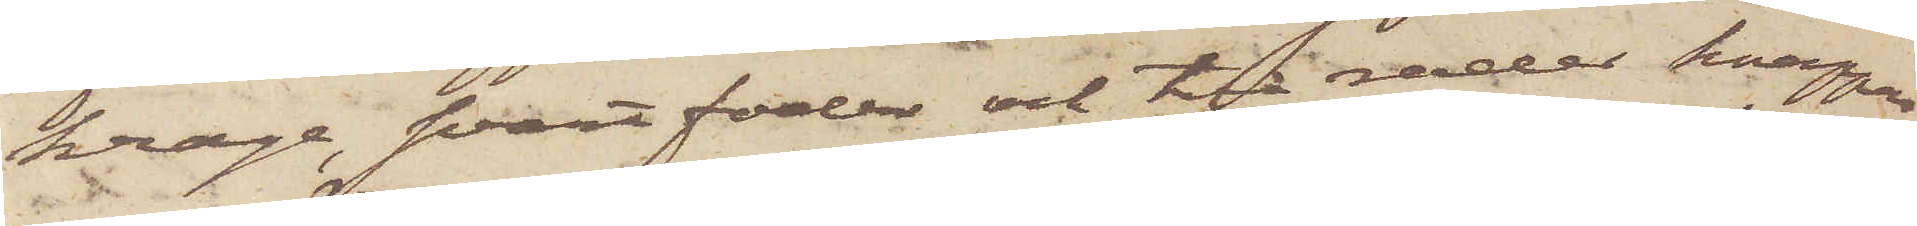krage, svart foder och två rader knappar
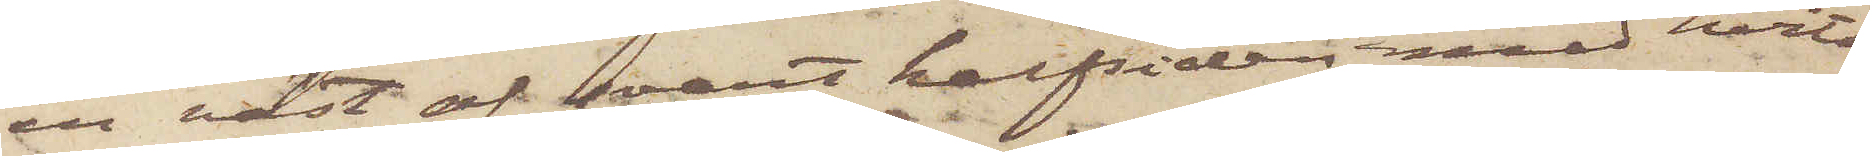en väst af svart halfsiden med hvita
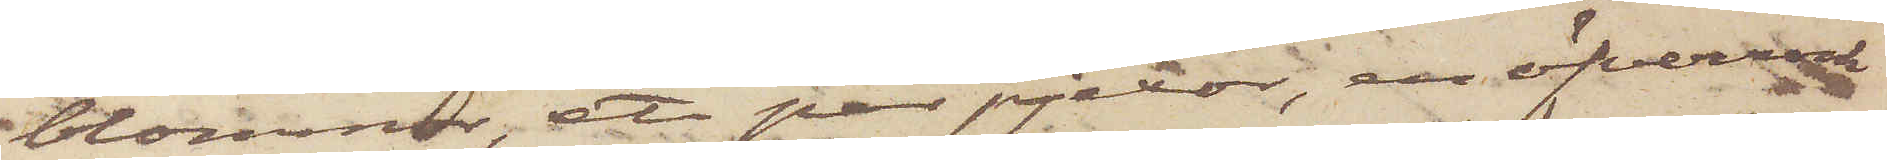blommor, ett par pjexor, en öfverrock
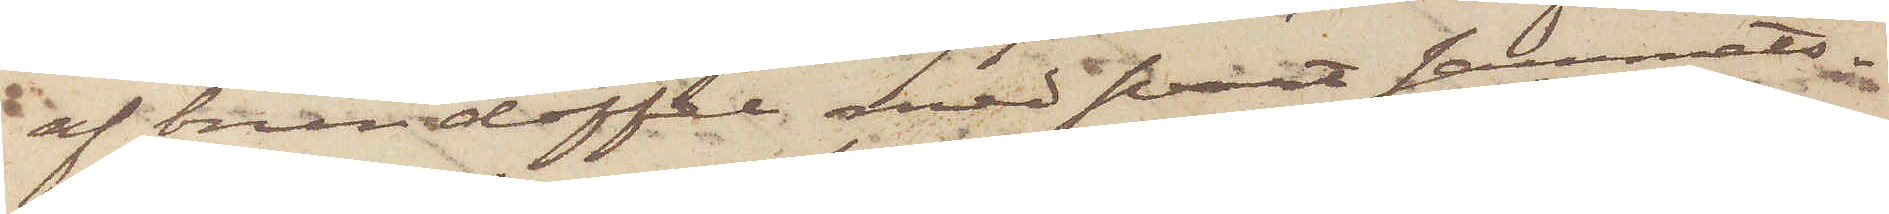af brun doffel med svart sammets¬
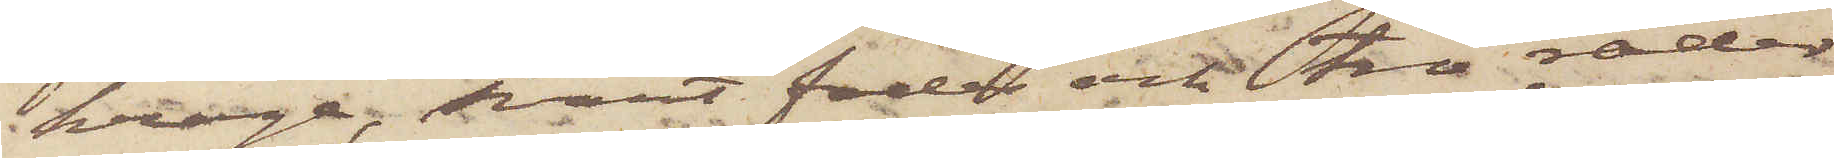krage, svart foder och två rader
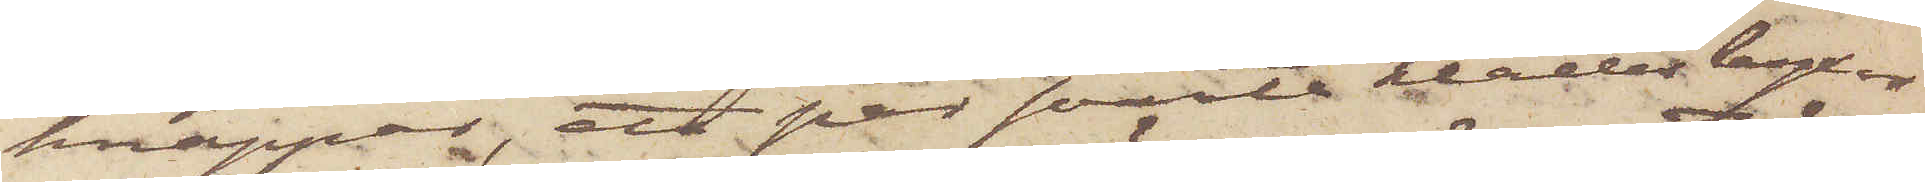knappar, ett par svarta klädesbyxor
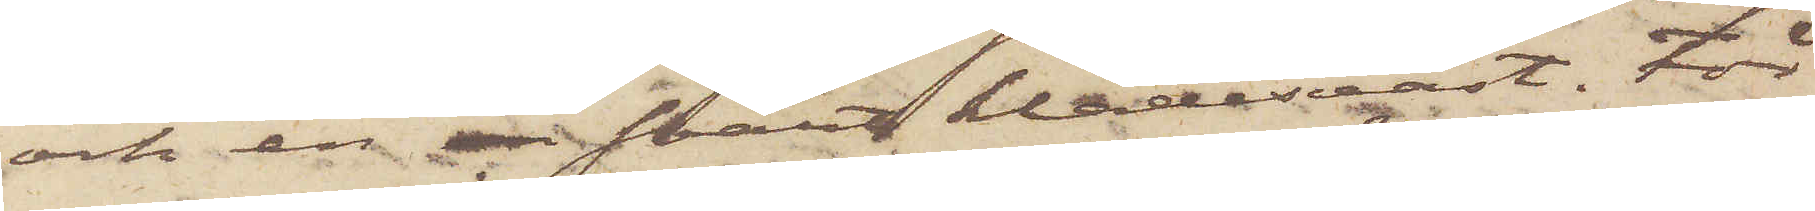och en svart klädesväst. För
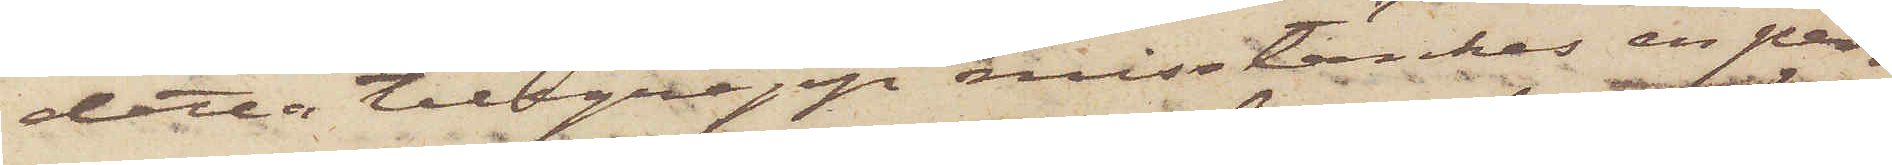detta tillgrepp misstänkes en per¬
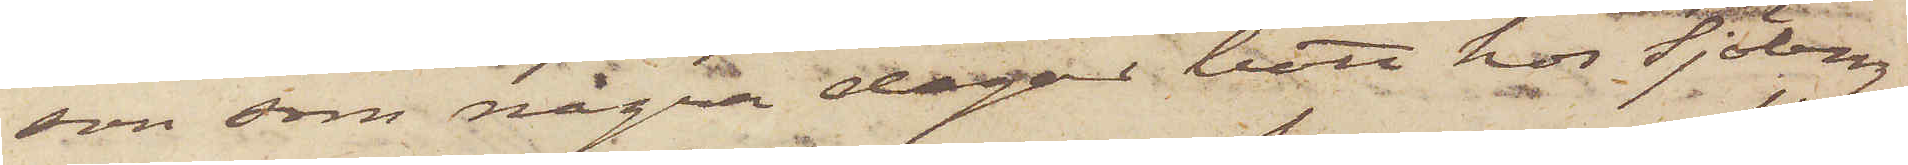son, som några dagar bott hos Sjöberg
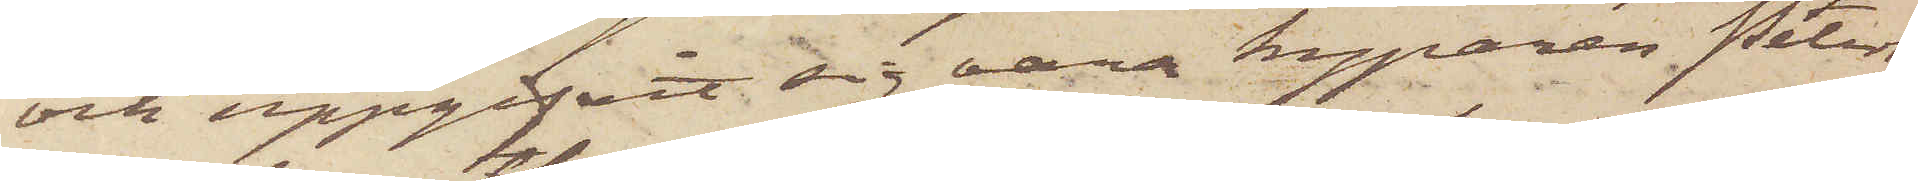och uppgifvit sig vara kyparen Peters¬
